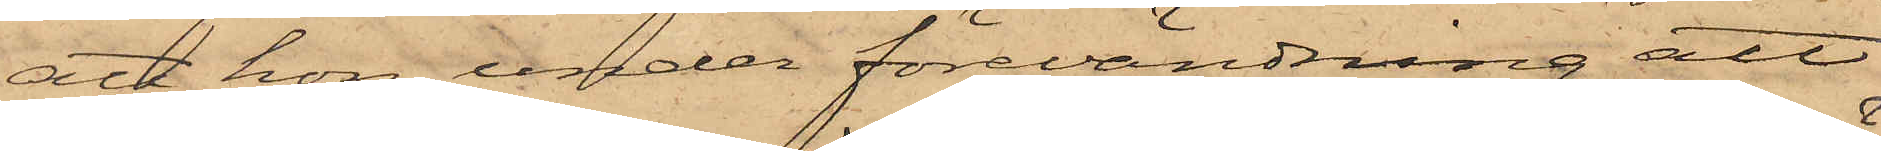att hon, under förevändning att
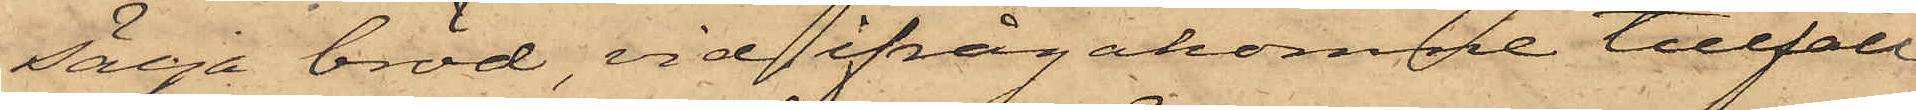sälja bröd, vid ifrågakomne tillfälle
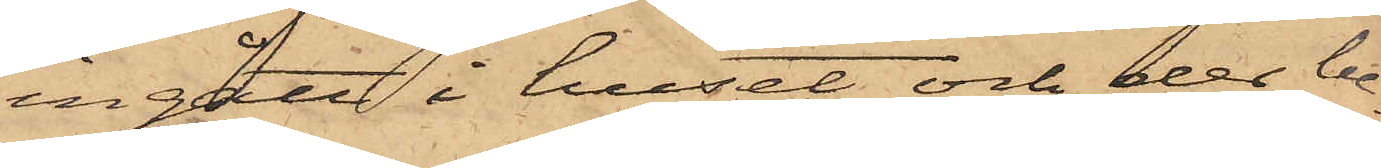ingått i huset och der be¬
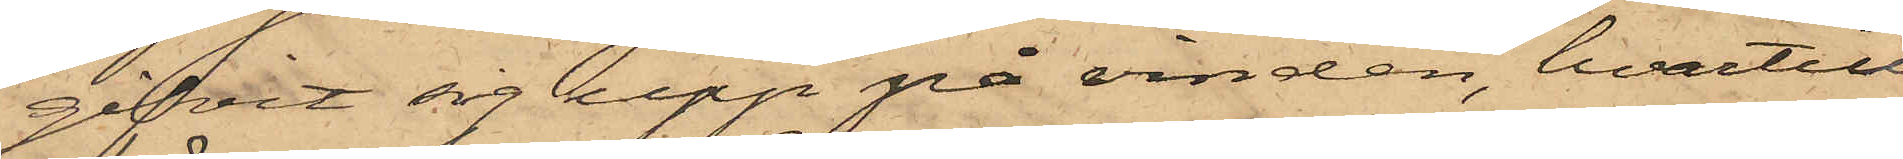gifvit sig upp på vinden, hvartill
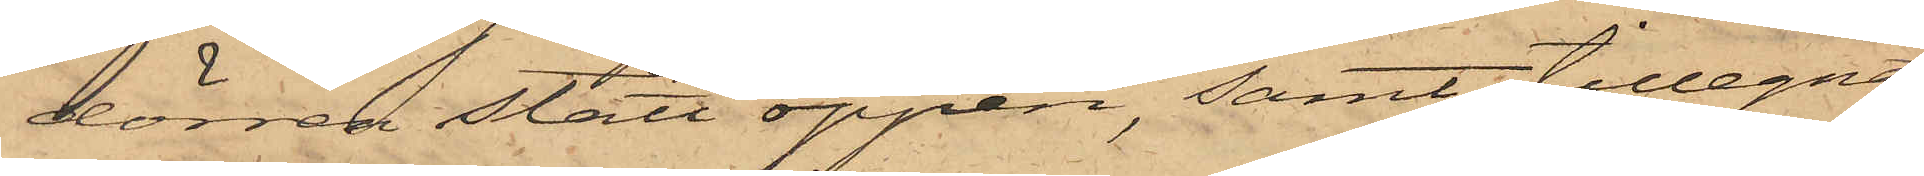dörren stått öppen, samt tillegnat
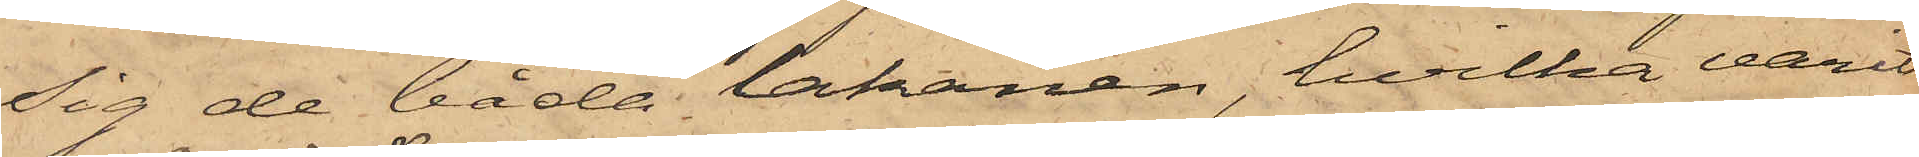sig de båda lakanen, hvilka varit
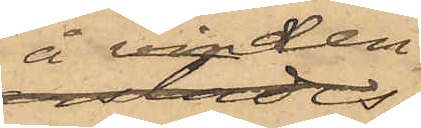å vinden
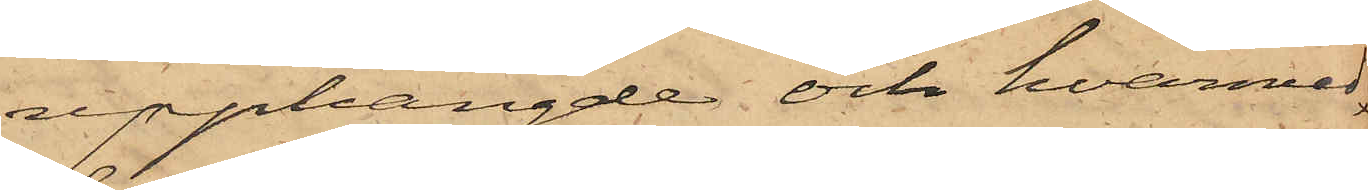upphängde och hvarmed
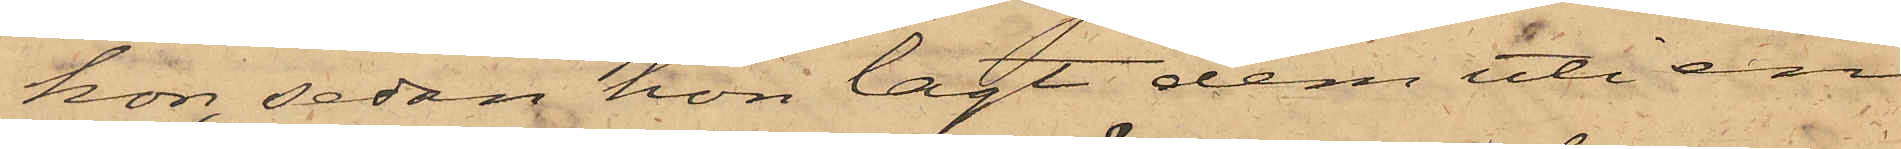hon, sedan hon lagt dem uti en
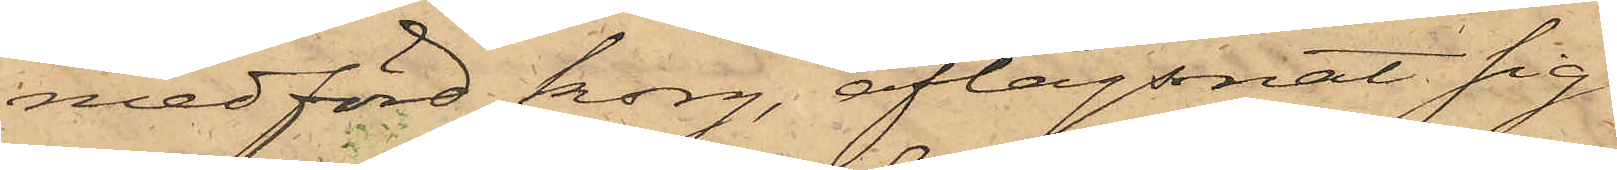medförd korg, aflägsnat sig.
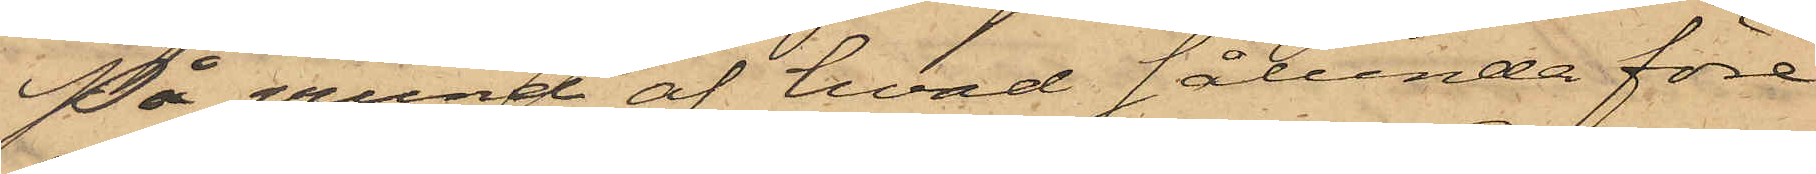På grund af hvad sålunda före¬
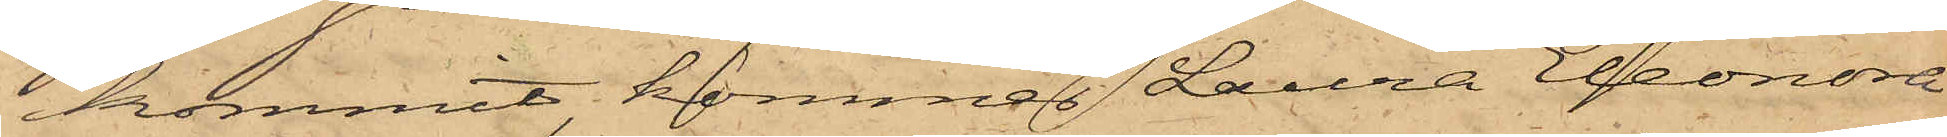kommit, kommer Laura Eleonora
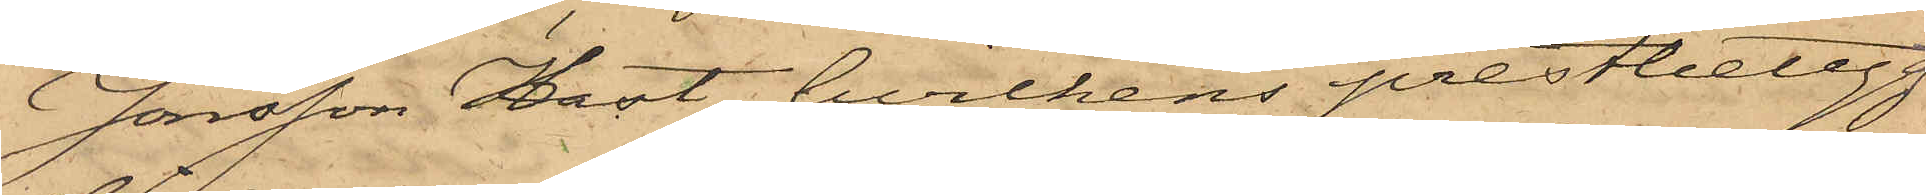Jonsson Hast, hvilkens prestbetyg
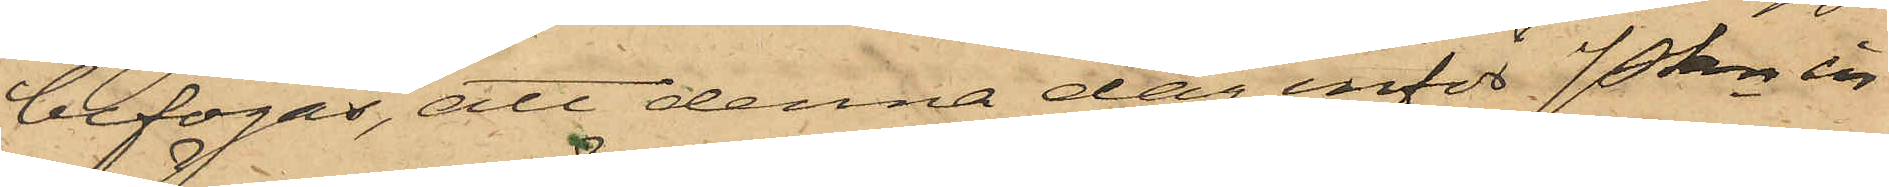bifogas, att denna dag inför Pkn in¬
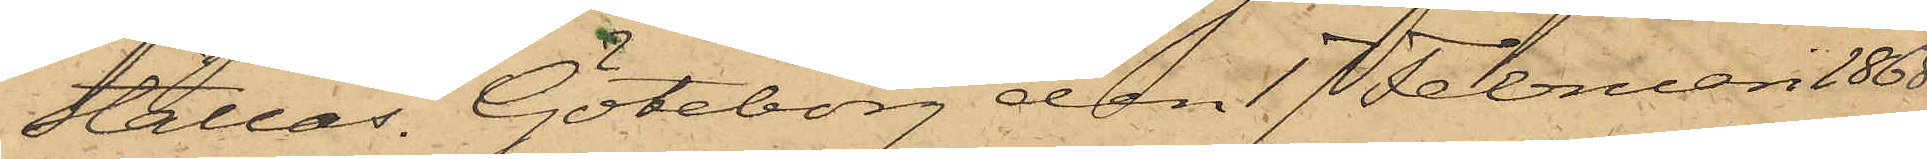ställas. Göteborg den 17 Februari 1868.
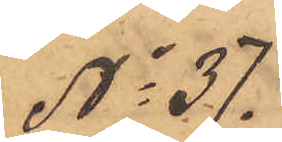No 37.
